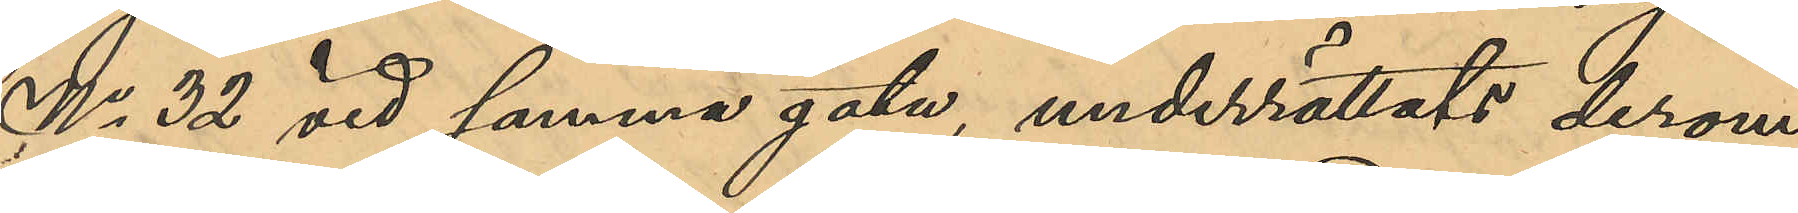No 32 vid samma gata, underrättats derom
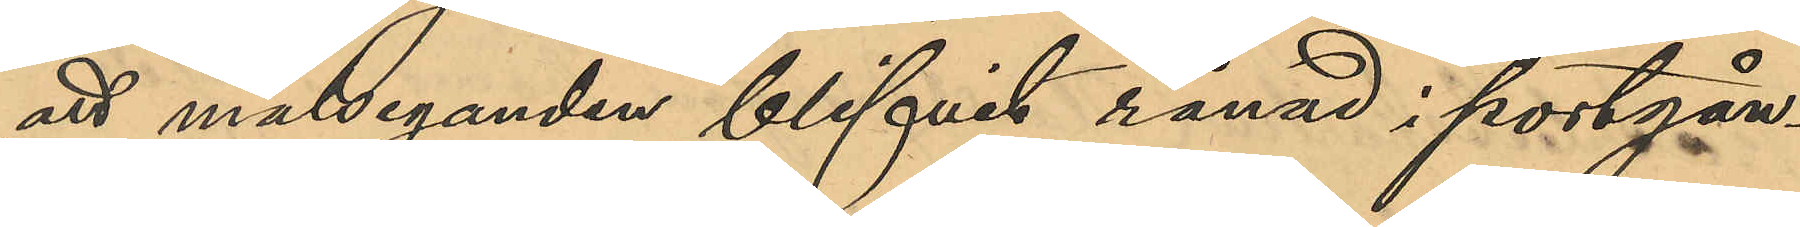att målseganden blifvit rånad i portgån¬
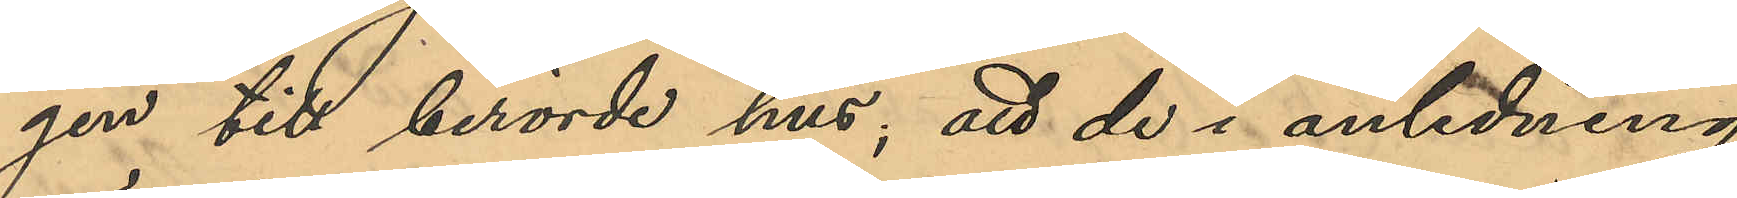gen till berörde hus, att de i anledning
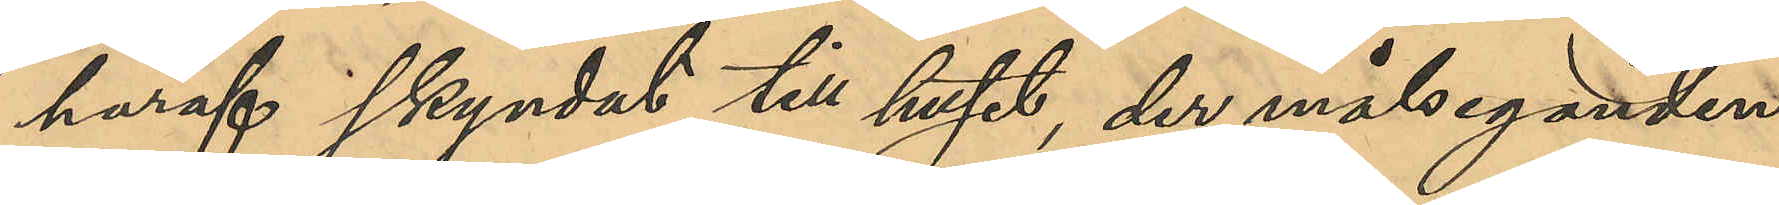häraf skyndat till huset, der målseganden
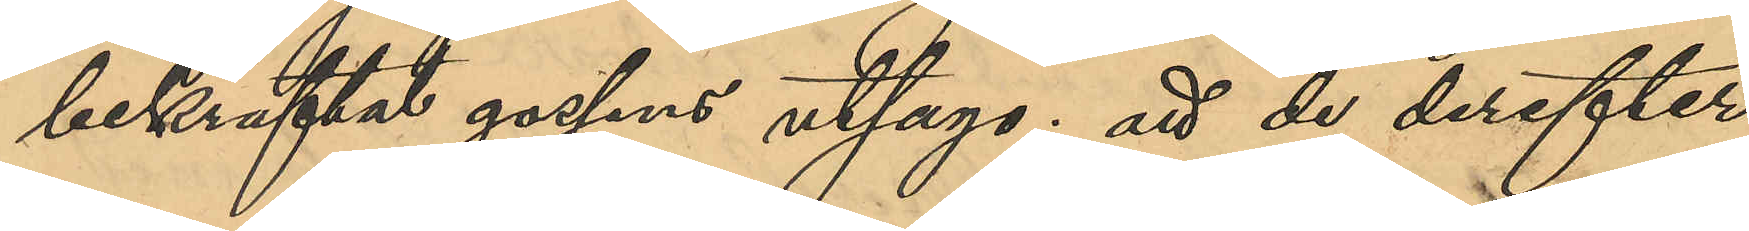bekräftat gossens utsago; att de derefter
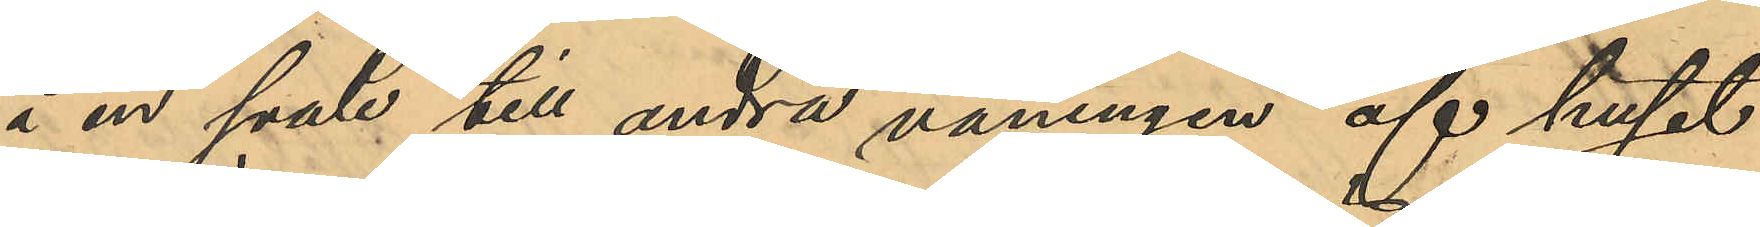å en svale till andra våningen af huset
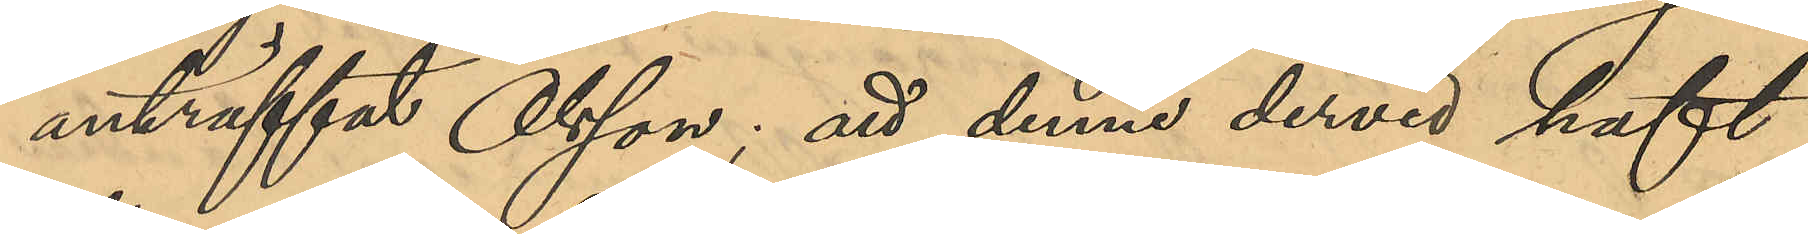anträffat Olsson; att denne dervid haft
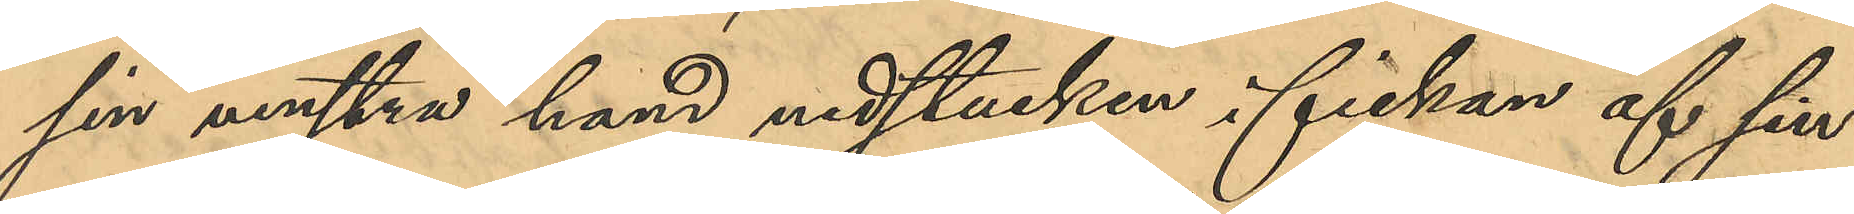sin venstra hand nedstucken i fickan af sin
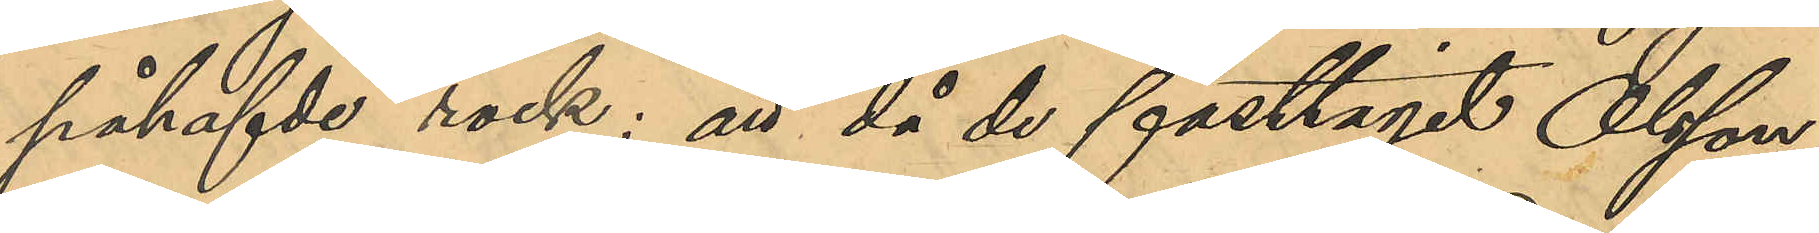påhafvde rock; att då de fasttagit Olsson
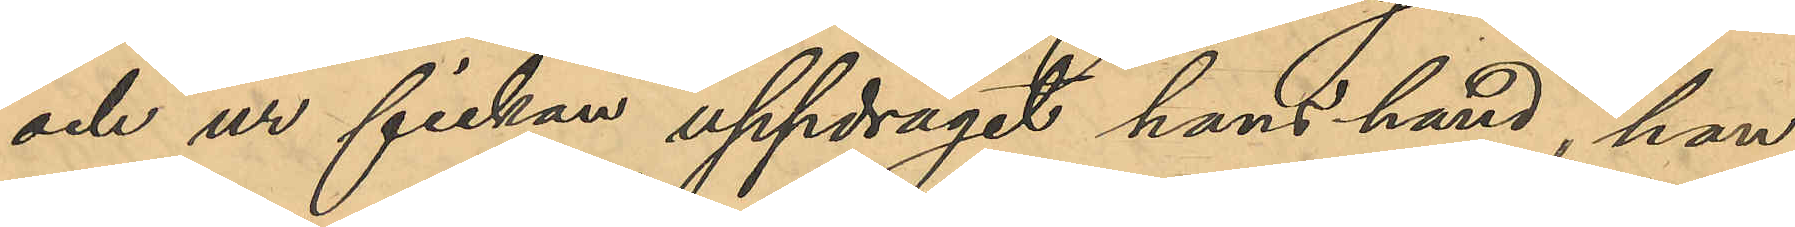och ur fickan uppdragit hans hand, han
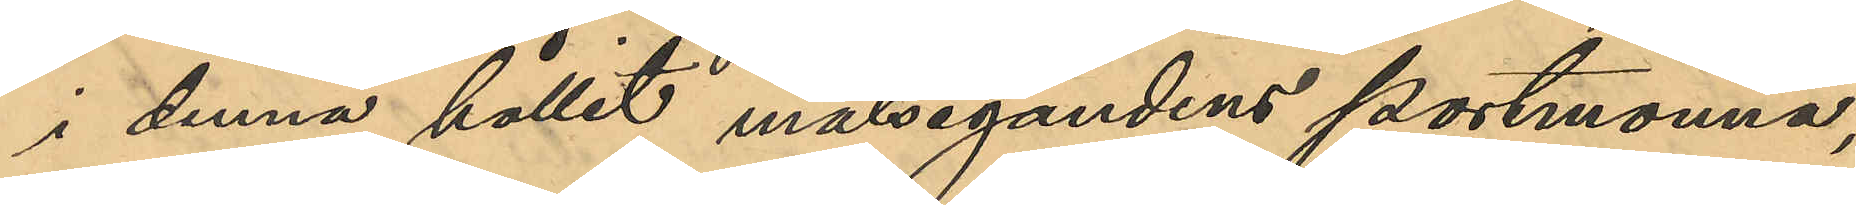i denna hållit målsegandens portmonnä,
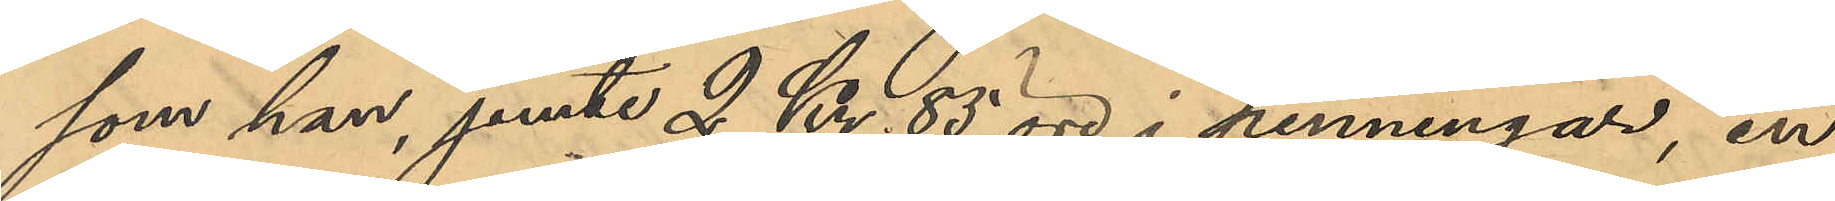som han,jemte 2 Kr. 85 öre i penningar, en
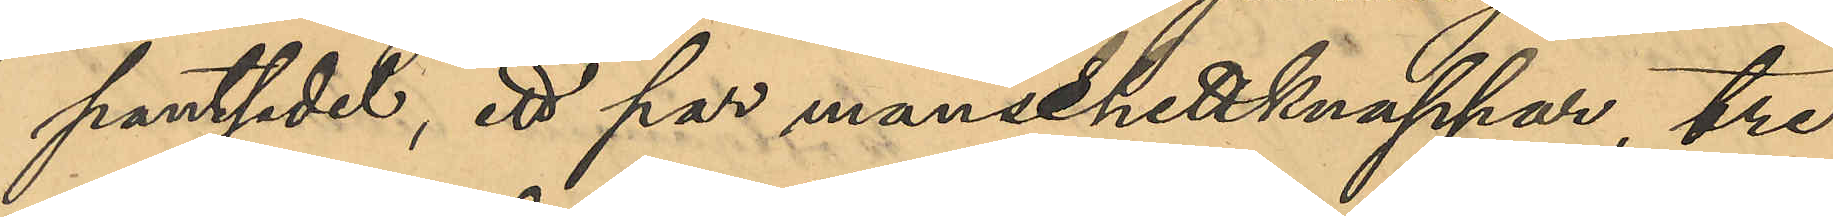pantsedel, ett par manschettknappar, tre
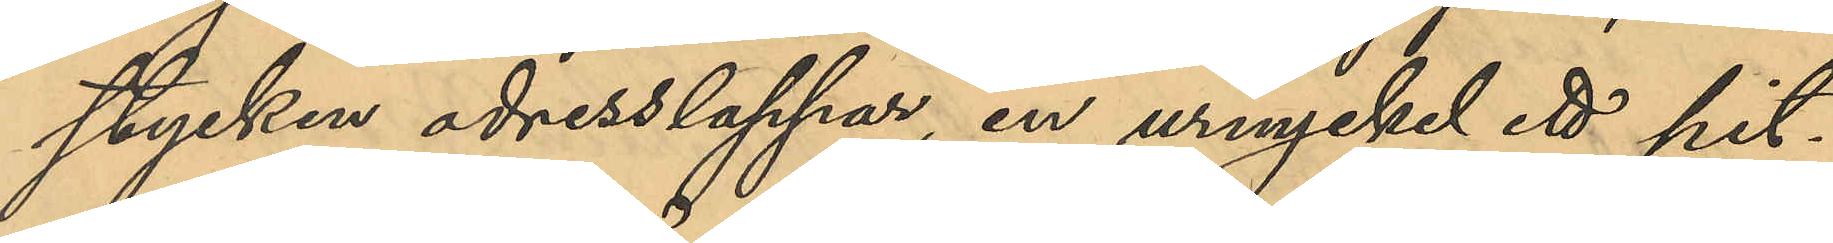stycken adresslappar, en urnyckel, ett pit¬
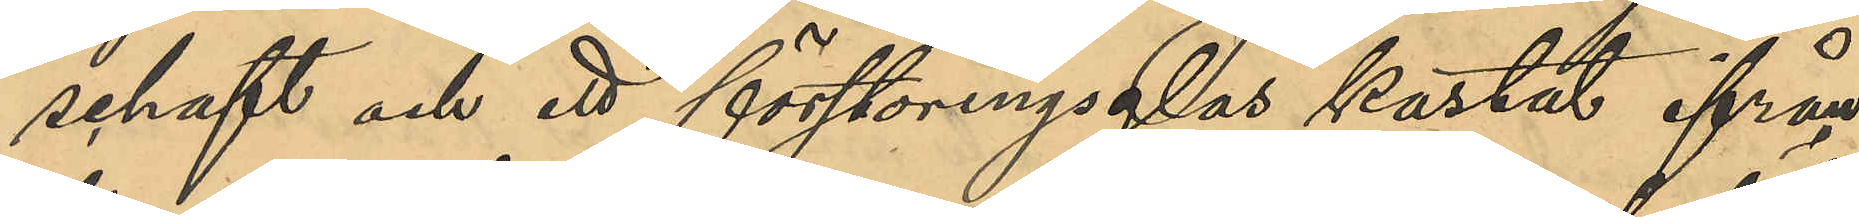schaft och ett förstoringsglas kastat ifrån
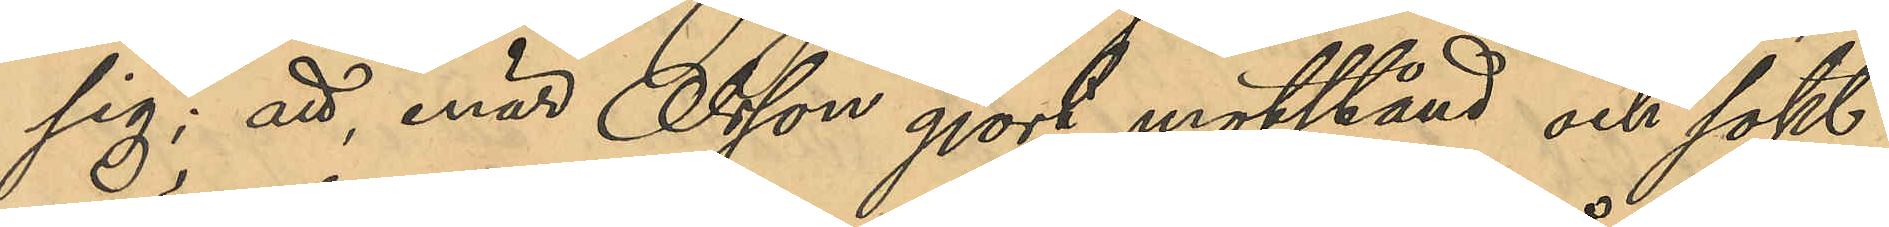sig; att enär Olsson gjort motstånd och sökt
